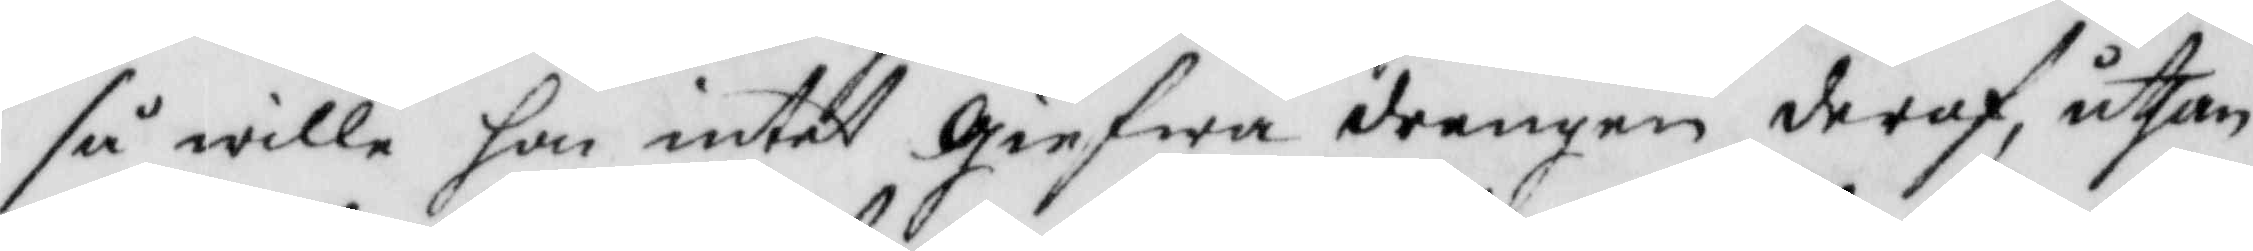så wille hon intet giefwa drengen deraf, uthan
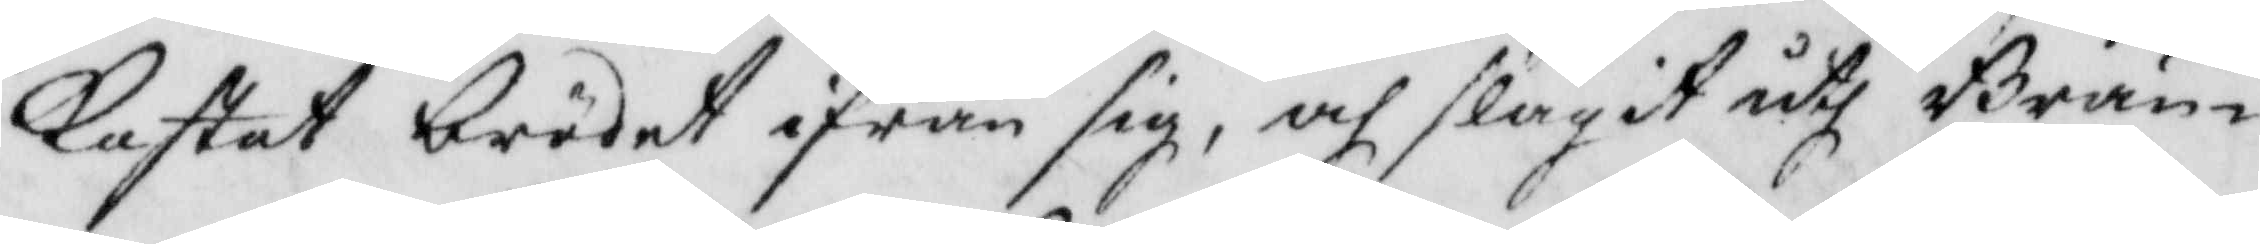Kastat brödet ifrån sig, och slagit uth Brän¬
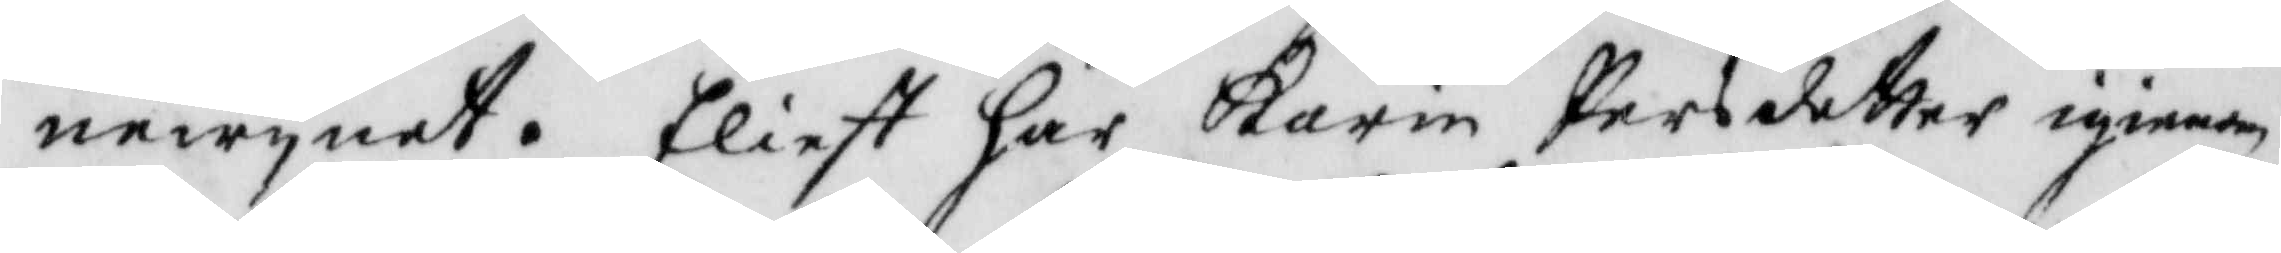newynet. Eliest har Karin Persdotter igenom
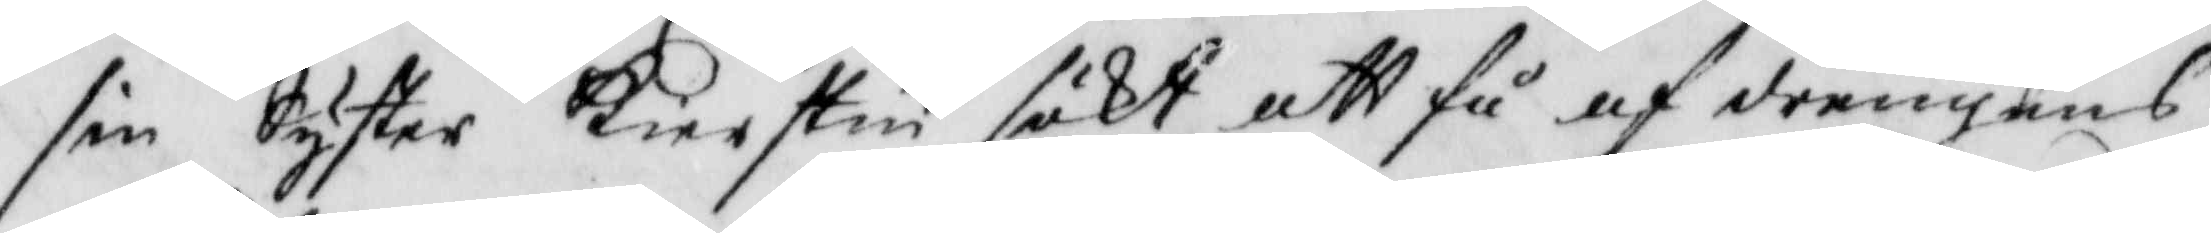sin Syster Kierstin sökt att få af drengens
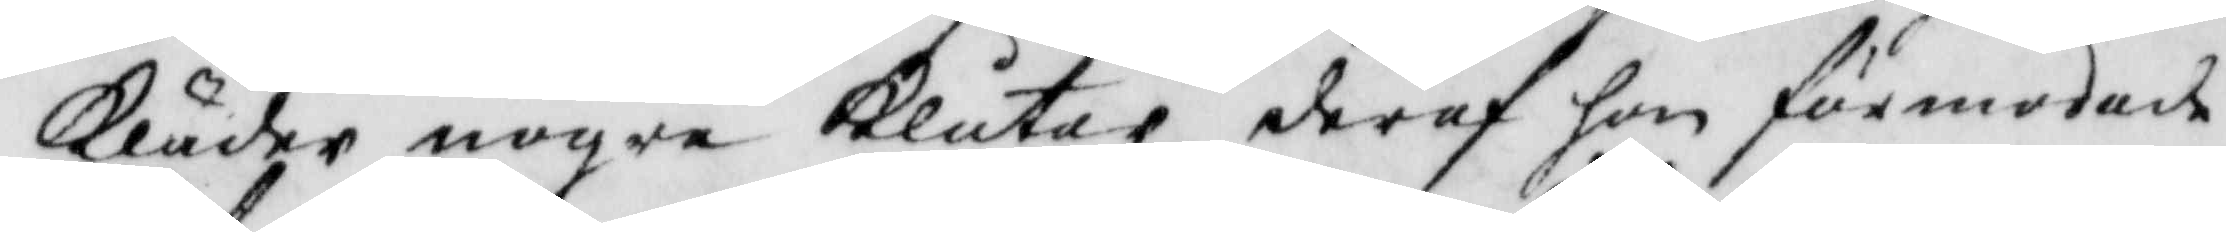Kläder nogra Klutar, deraf hon förmodade
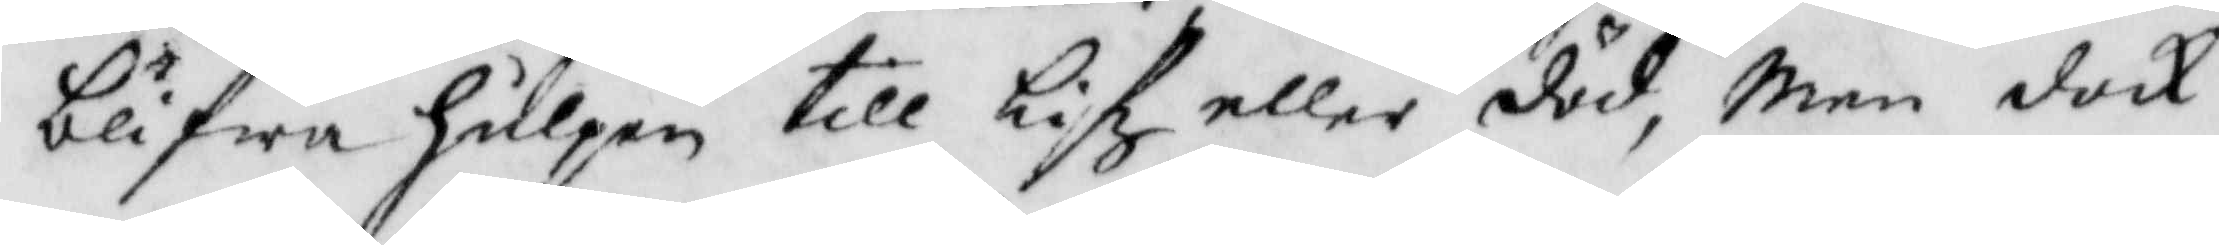blifwa hulpen till lifz eller död, men dock
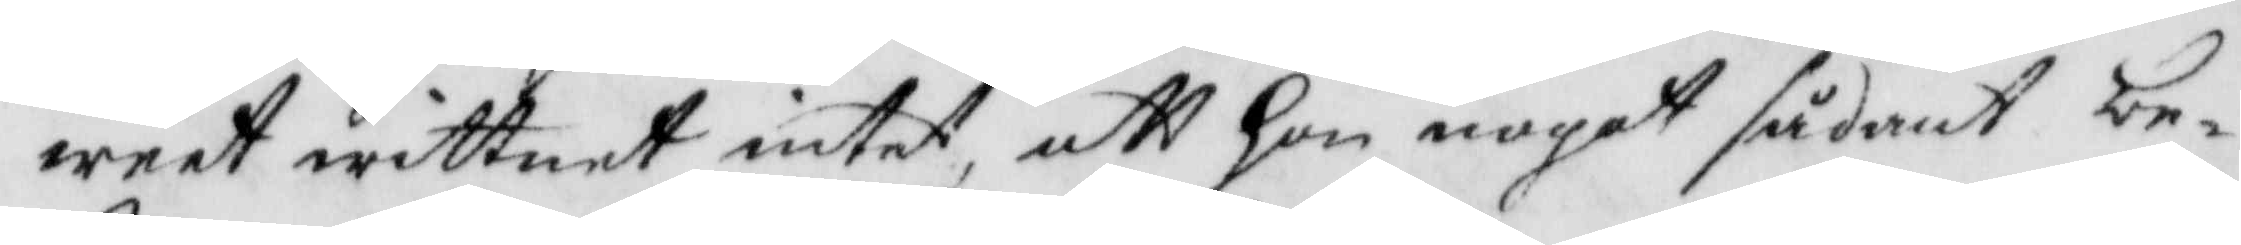weet wittnet intet att hon noget sådant be¬
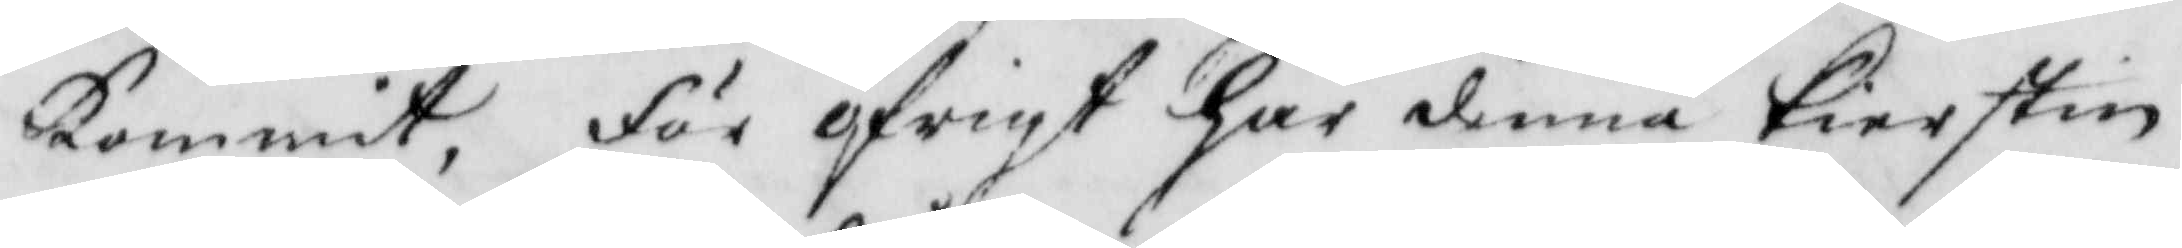kommit, för öfrigt har denne Kierstin
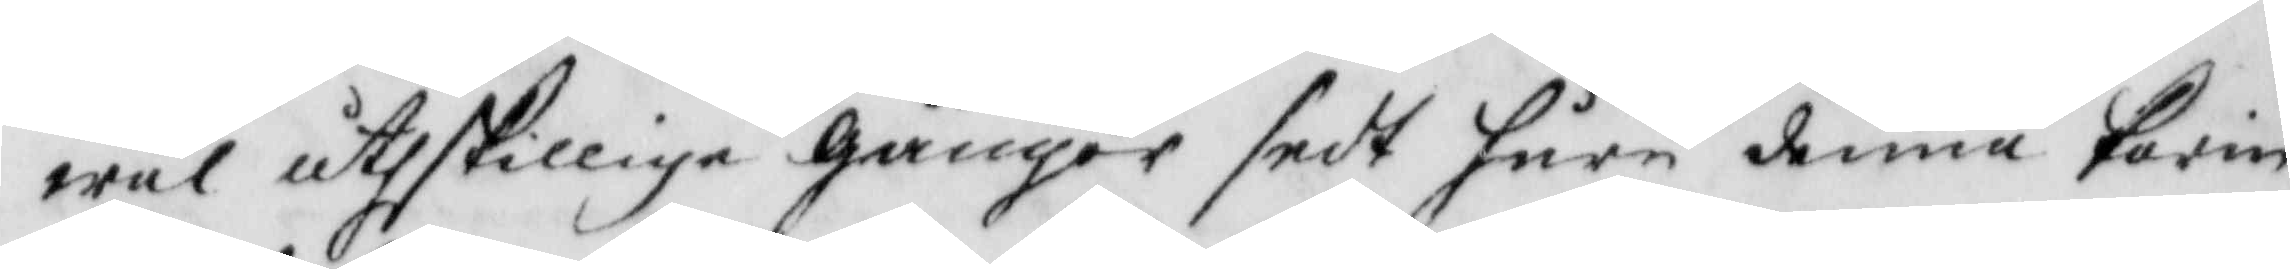wäl åthskillige gånger sedt huru denne Karin
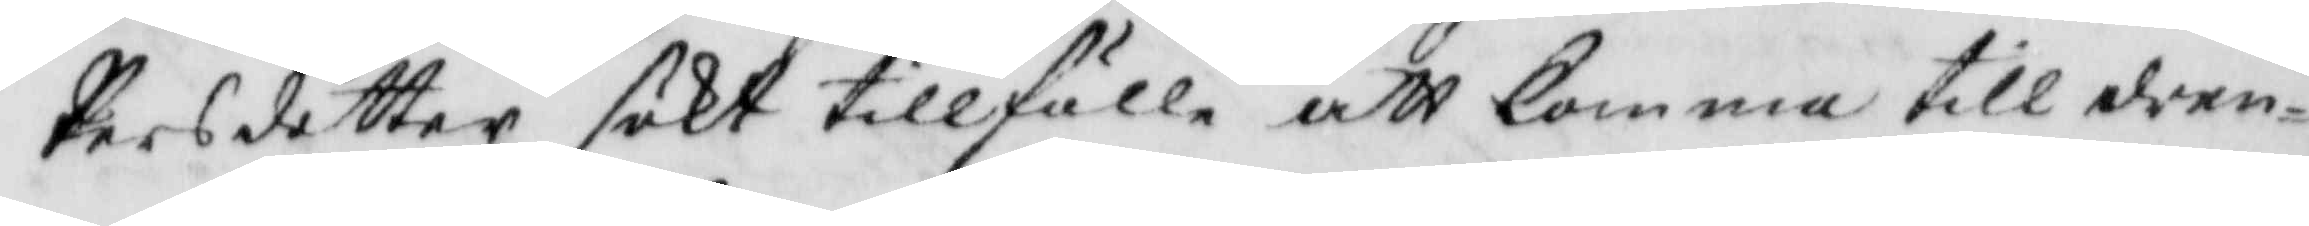Persdotter sökt tillfälle att komma till dren¬
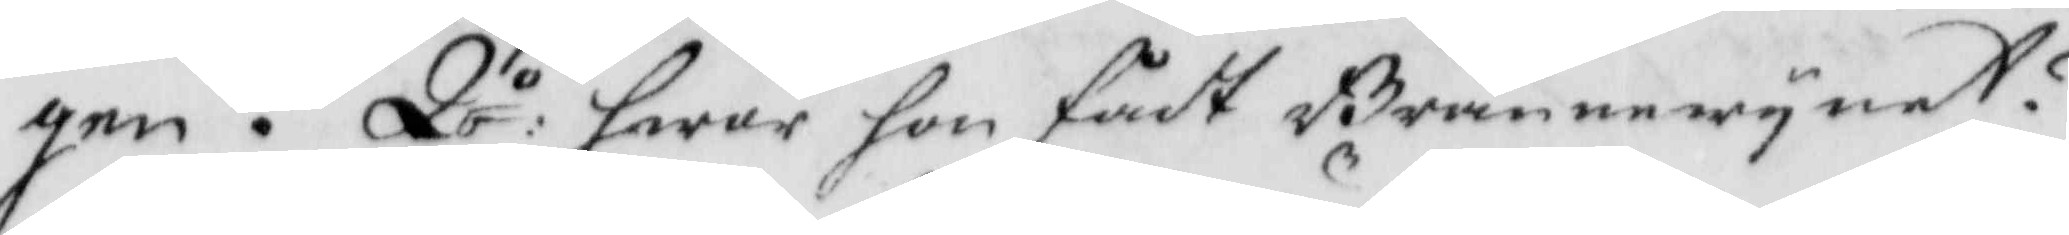gen. Qv:o hwar hon fådt Brännewynet?
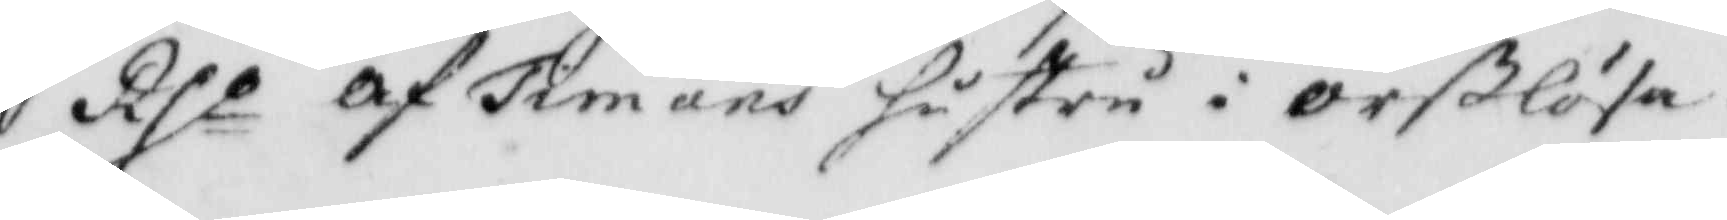Rso af Timans hustru i Örßlösa.
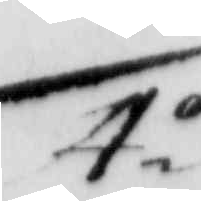4.o
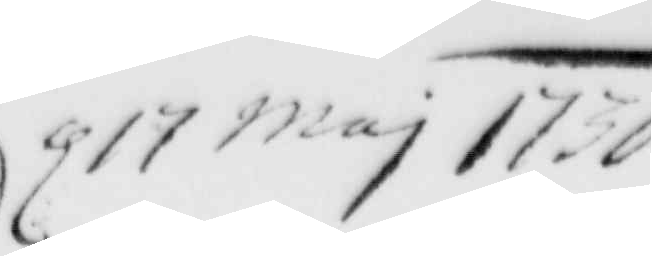d 17 maj 1736
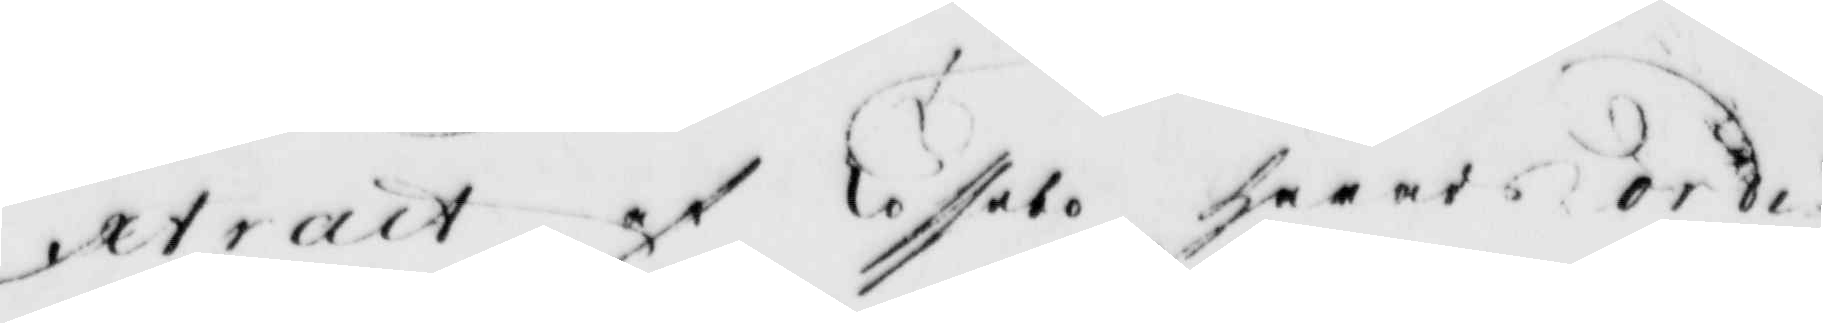Extract af Tossebo härads ordi¬
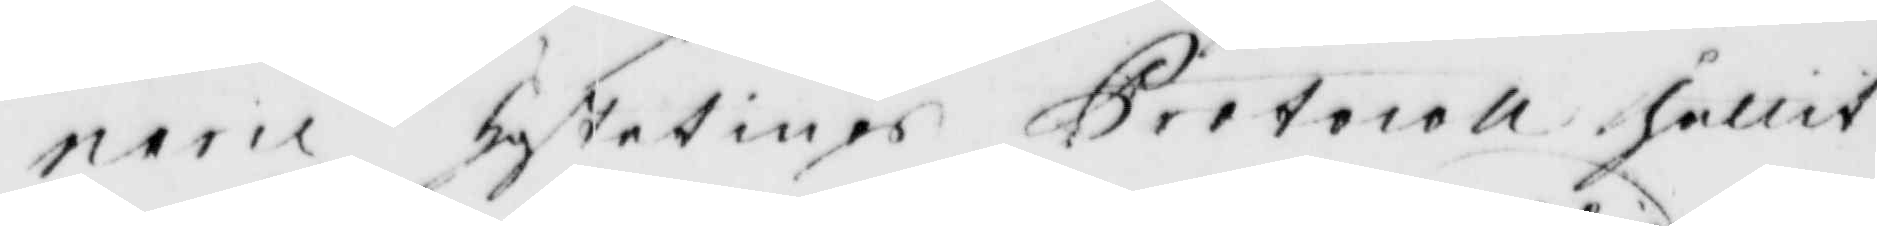narie höstetings Protocoll hållit
